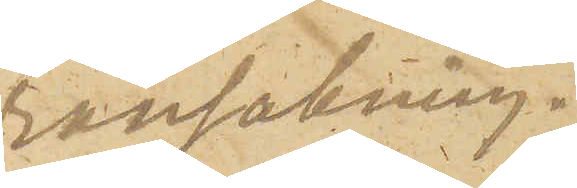ransakning.
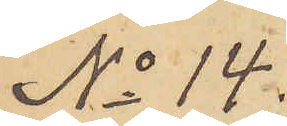No 14.
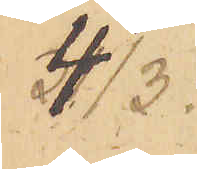4/3.
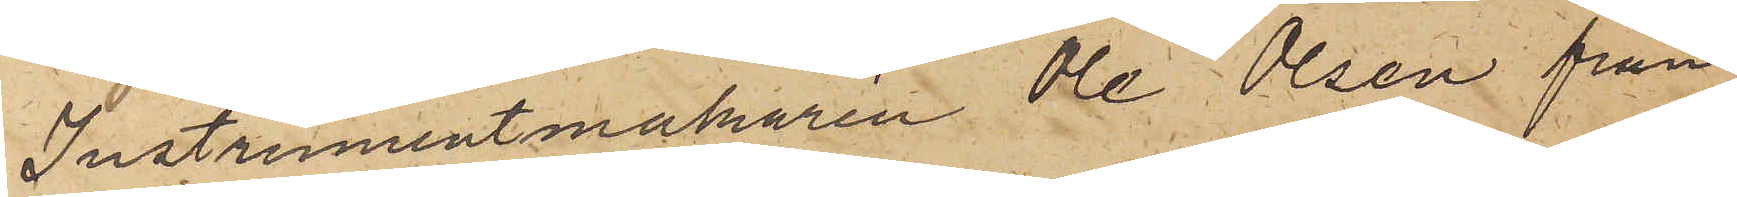Instrumentmakaren Ole Olsen från
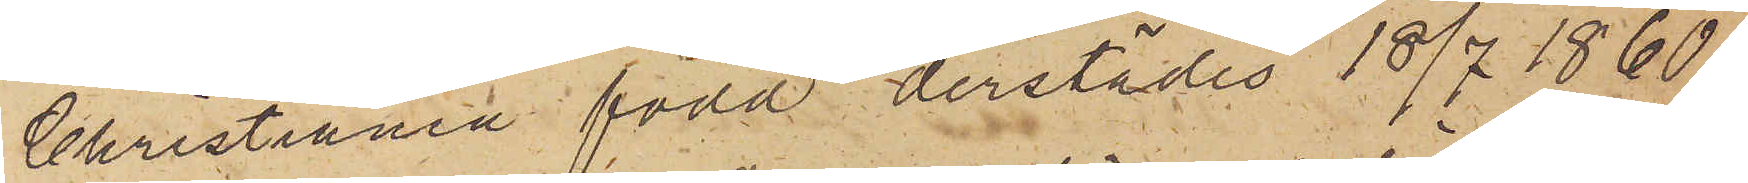Christiania född derstädes 18/7 1860.
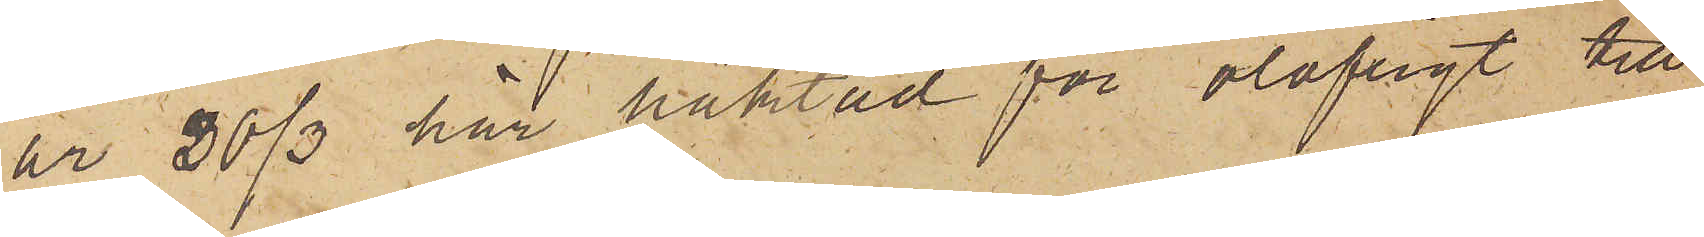är 30/3 här häktad för olofligt till¬
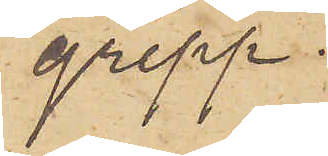grepp.
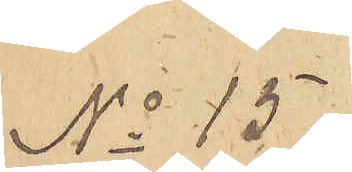No 15.
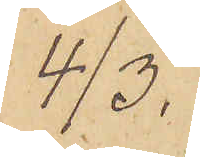4/3.
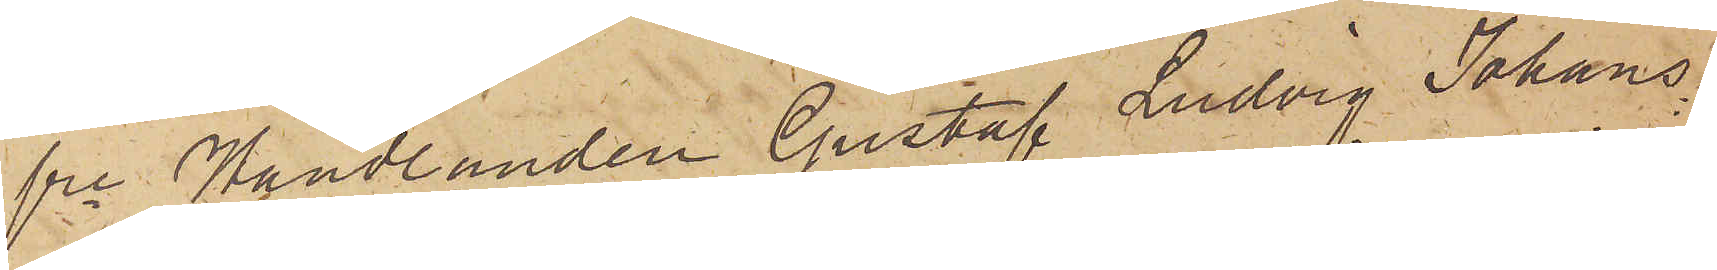fre Handlanden Gustaf Ludvig Johans¬
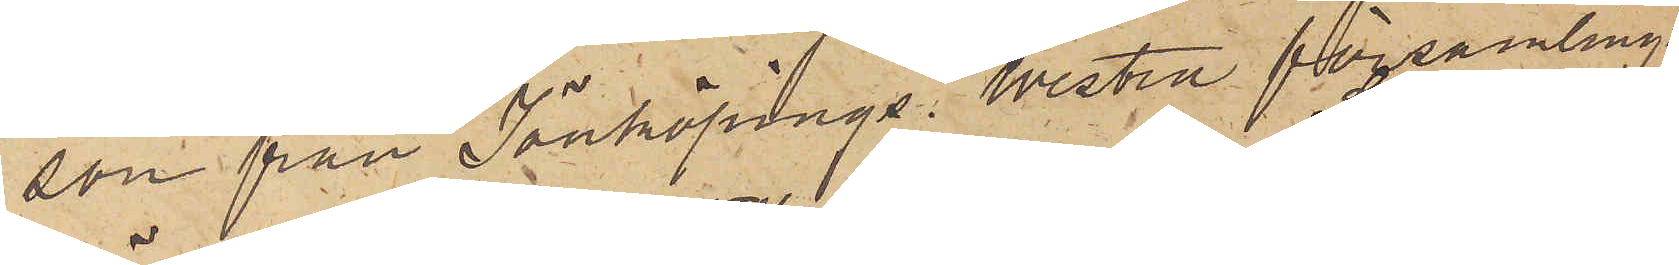son från Jönköpings Westra församling
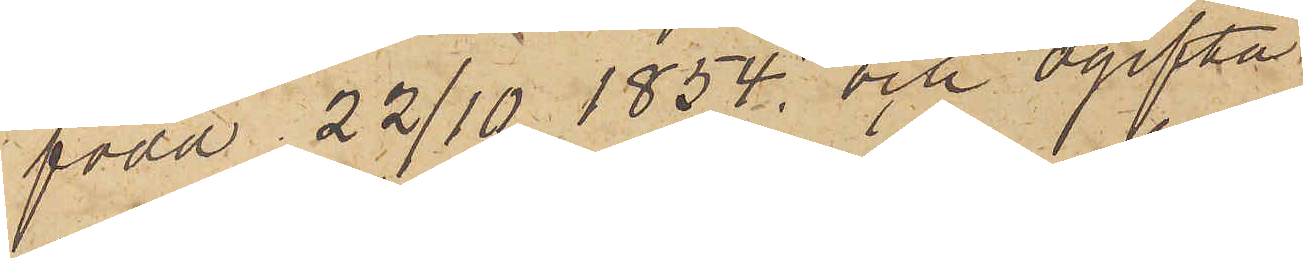född 22/10 1854. och ogifta
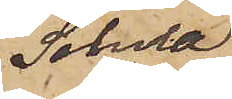Selma
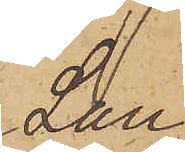Lau¬
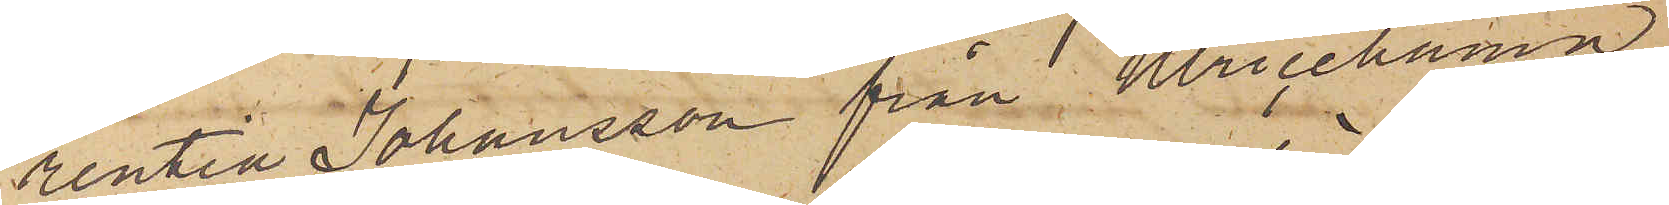rentia Johansson från Ulricehamn
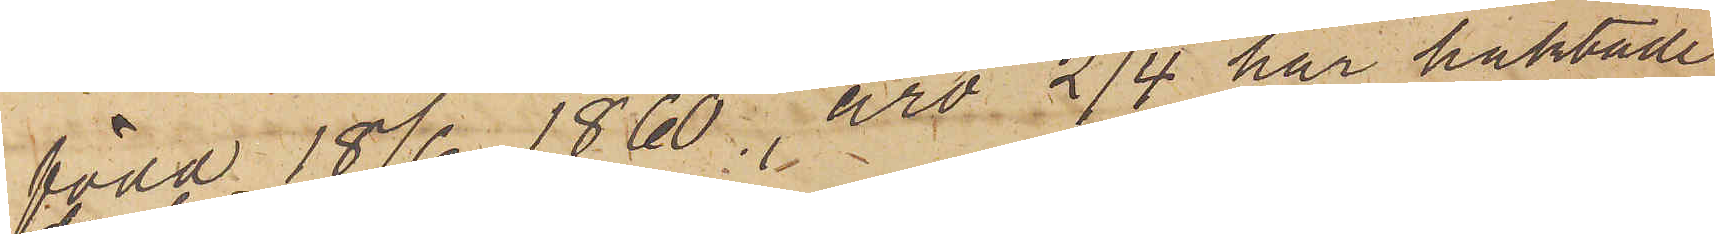född 18/6 1860, äro 2/4 här häktade
